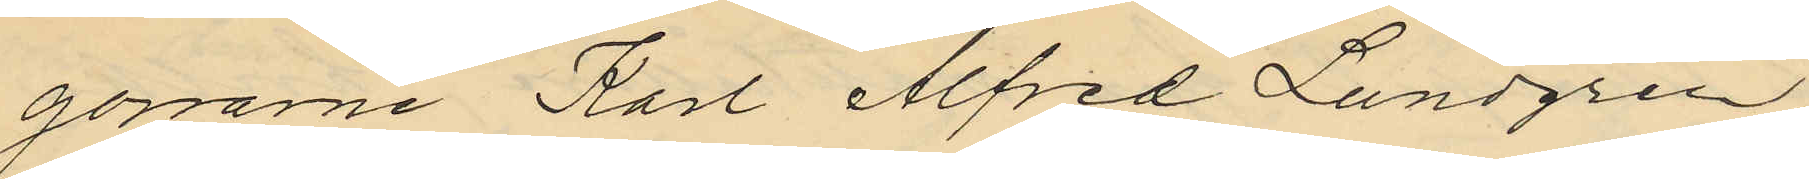gossarne Karl Alfred Lundgren
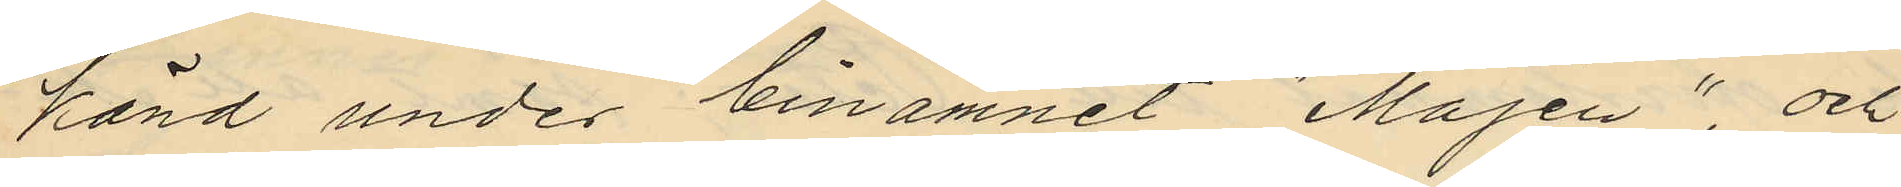känd under binamnet "Majen", och
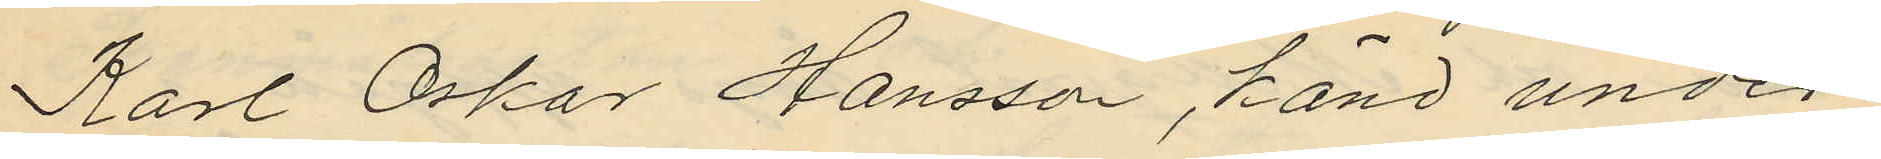Karl Oskar Hansson, känd under
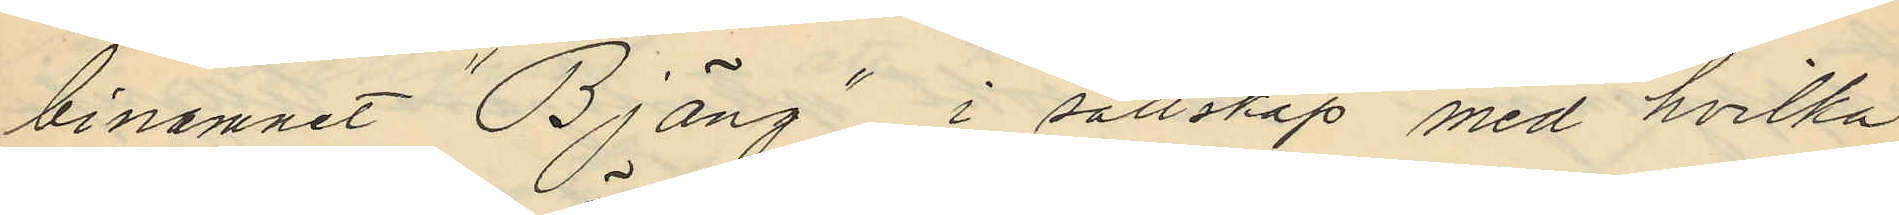binamnet "Bjäng", i sällskap med hvilka
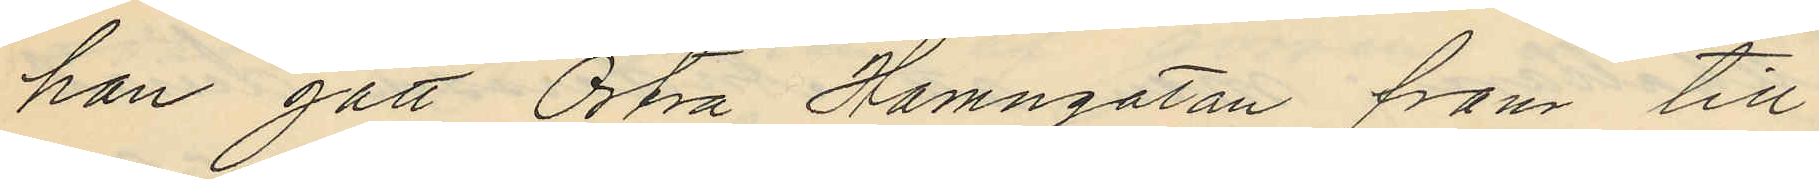han gått Östra Hamngatan fram till
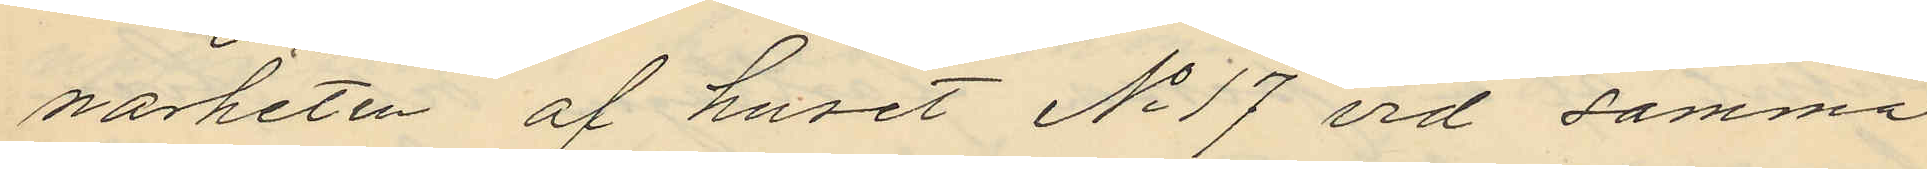närheten af huset No 17 vid samma
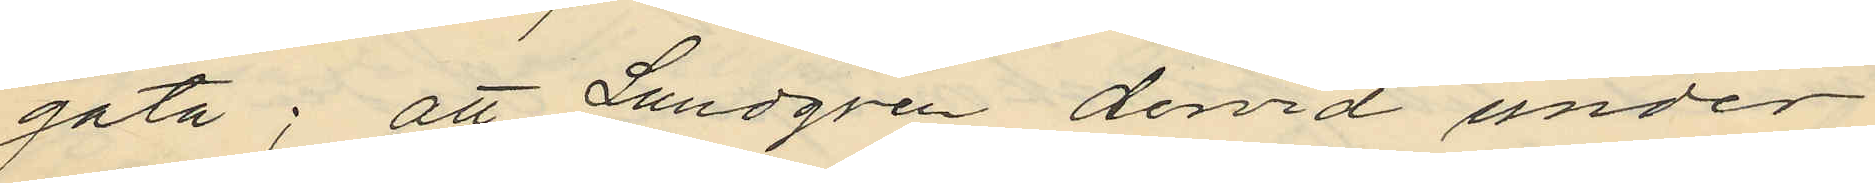gata; att Lundgren dervid under
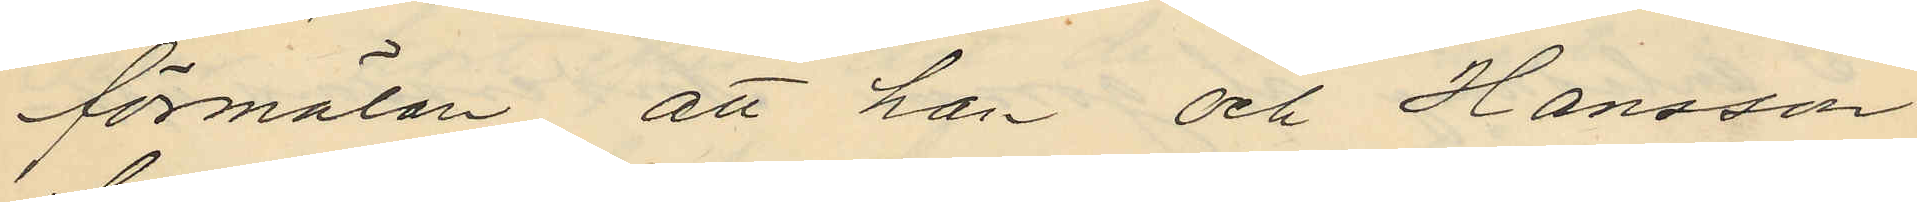förmälan att han och Hansson
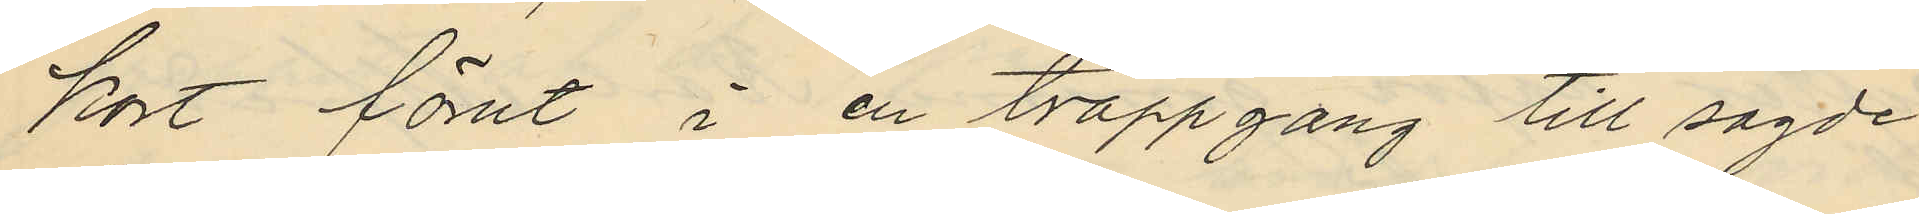kort förut i en trappgång till sagde
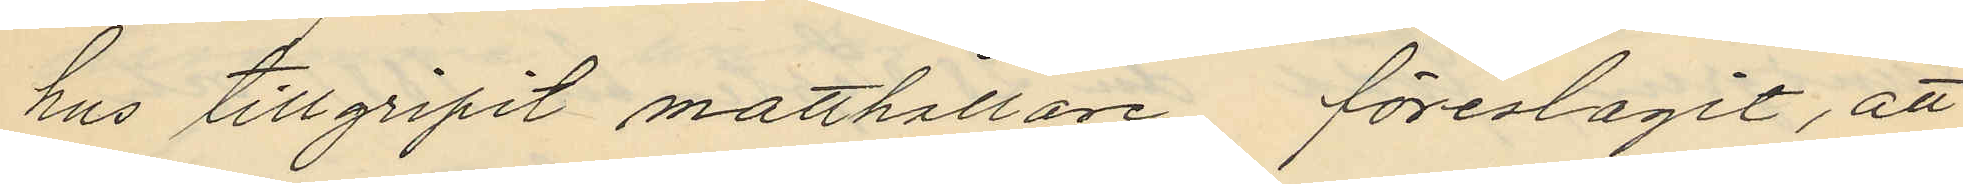hus tillgripit matthållare föreslagit, att
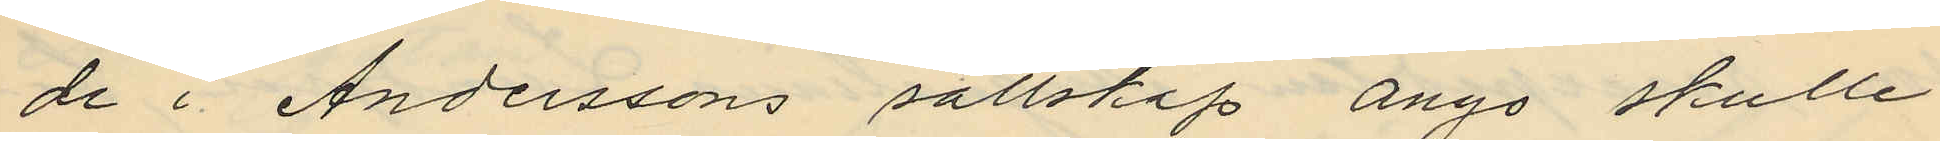de i Anderssons sällskap ånyo skulle
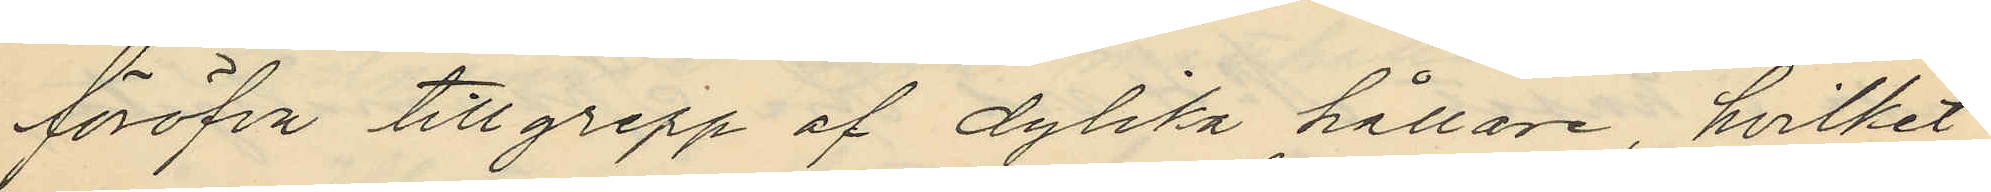föröfva tillgrepp af dylika hållare, hvilket
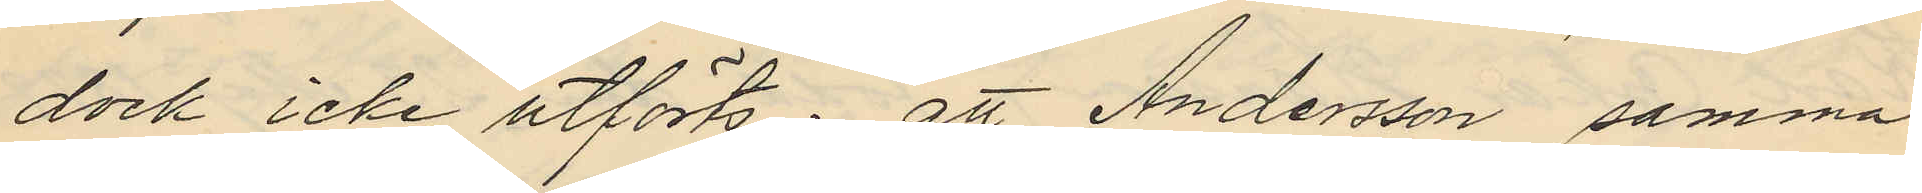dock icke utförts; att Andersson samma
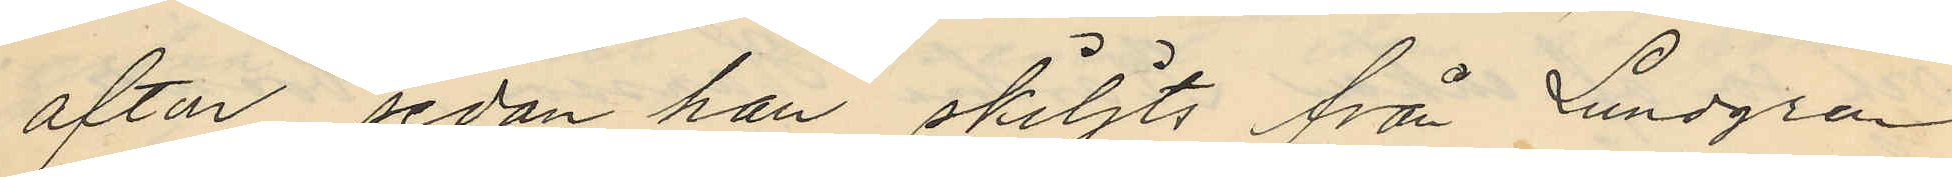afton sedan han skiljts från Lundgren
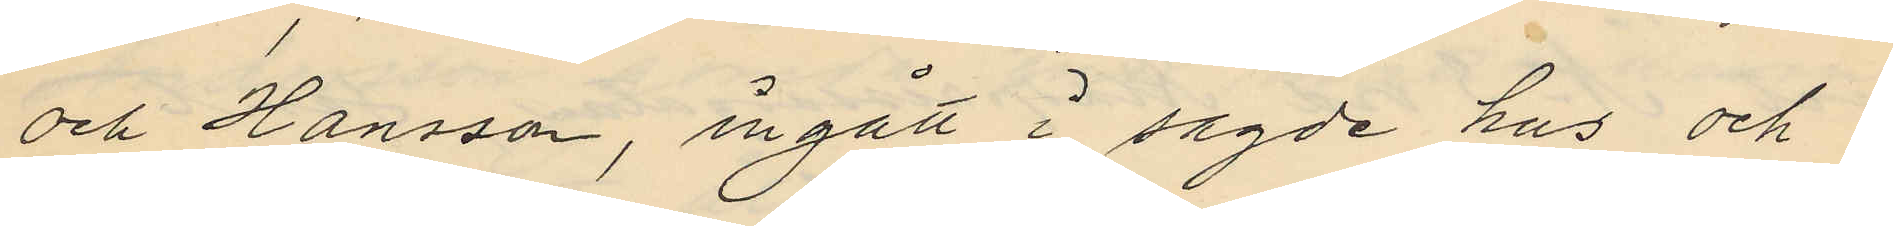och Hansson, ingått i sagde hus och i
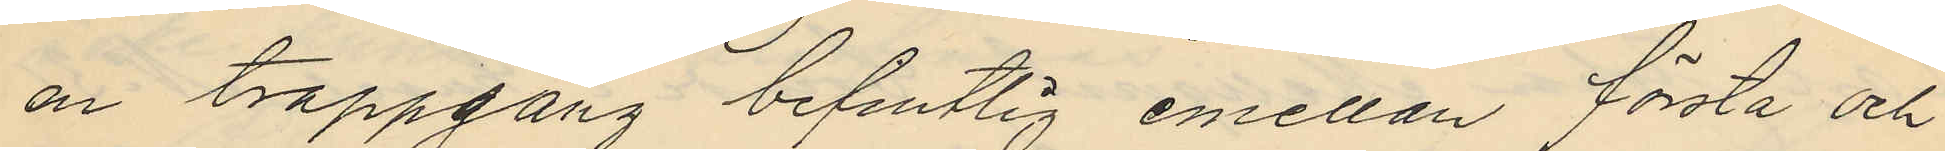en trappgång befintlig emellan första och
